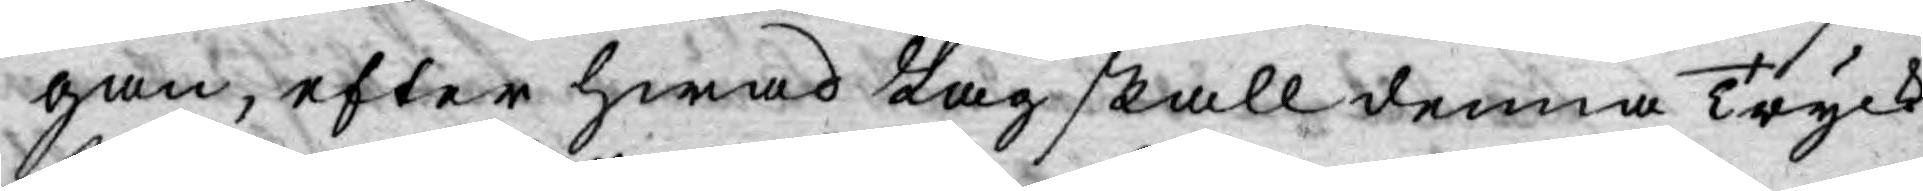gan, efter hwad Lag skall denna Tryck¬
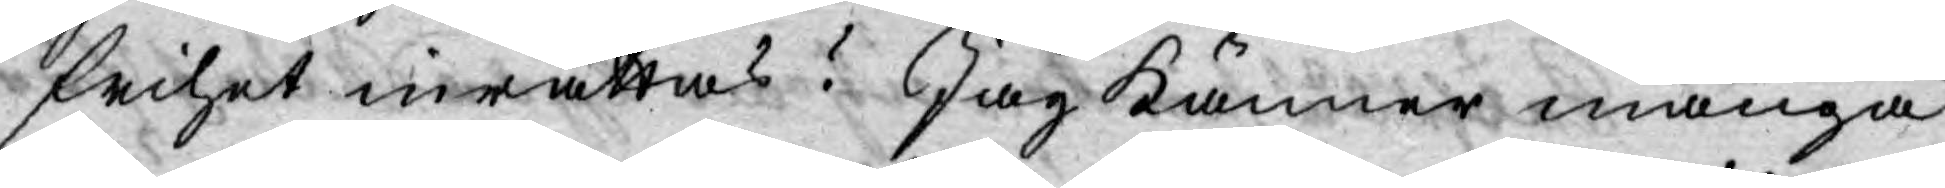frihet inrättas? Jag känner många
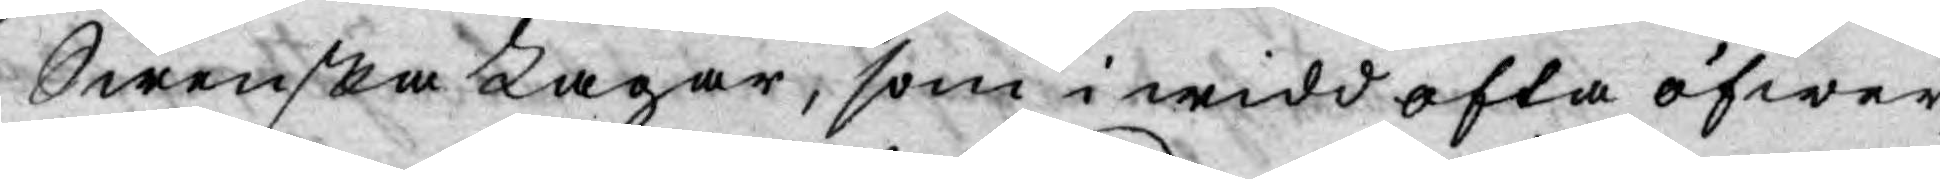Swenska Lagar, som i widd ofta öfwer¬
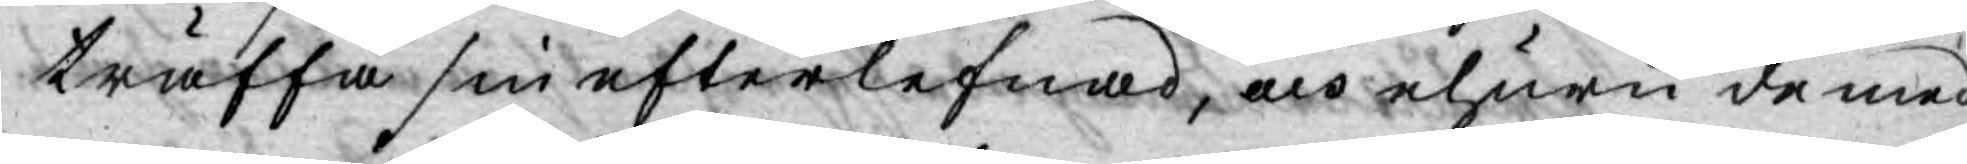träffa sin efterlefnad, och ehuru de med
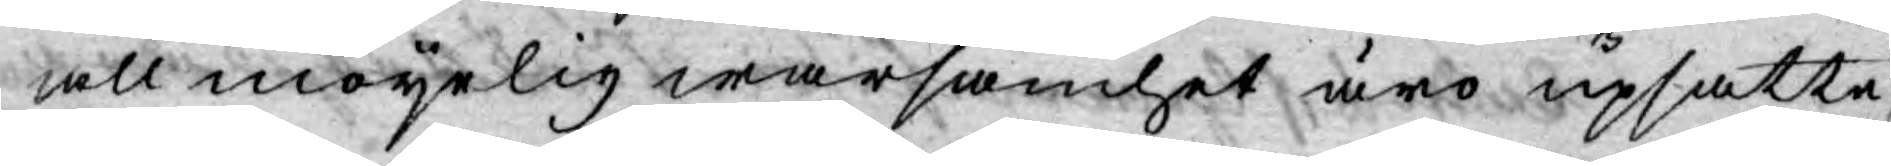allmöyelig warsamhet äro upsatte,
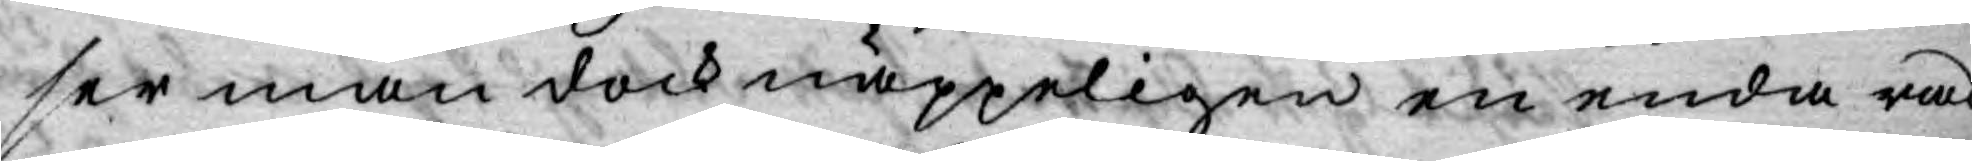ser man dock näppeligen en enda rad
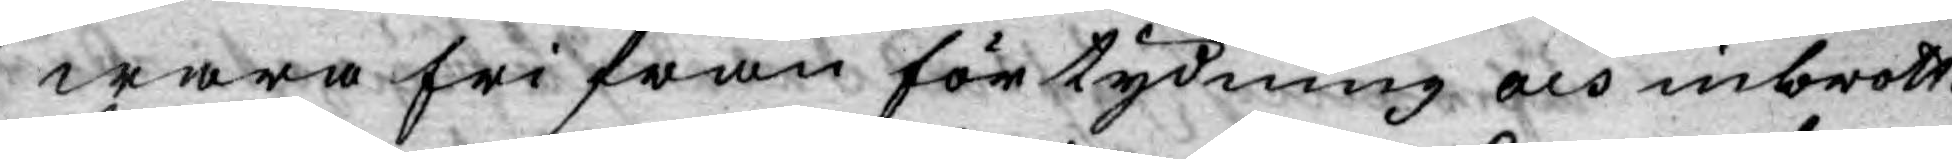wara fri från förtydning och inbrott.
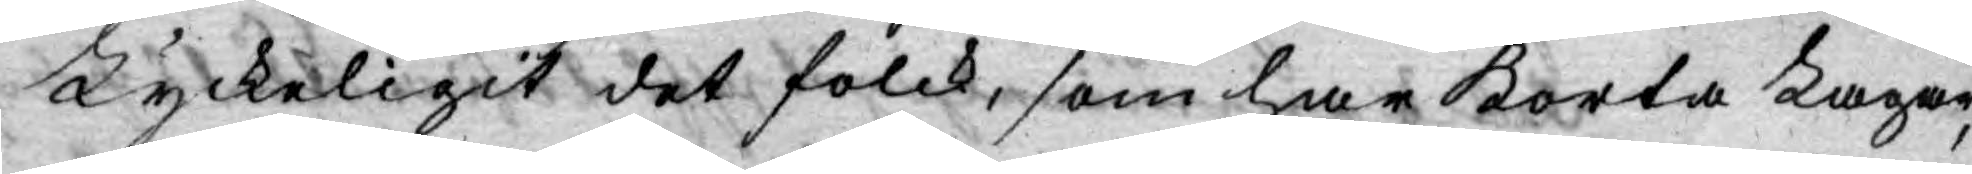Lyckeligit det folck, som har korta Lagar,
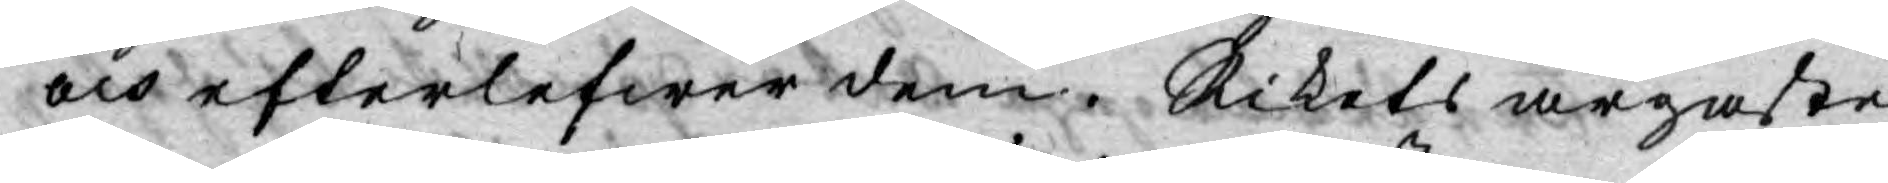och efterlefwer dem. Rikets argaste
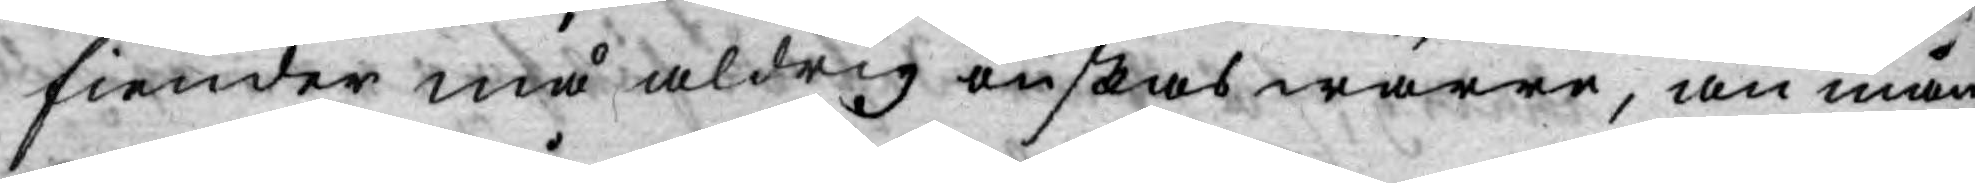fiender må aldrig önskas wärre, än mån¬
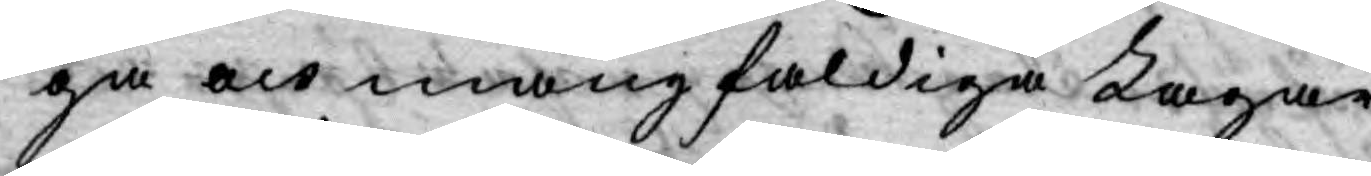ga och mångfaldiga Lagar.
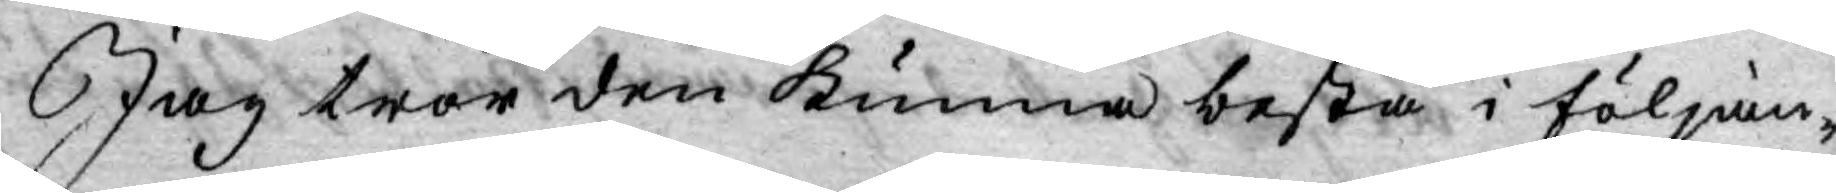Jag tror den kunna bestå i följan¬
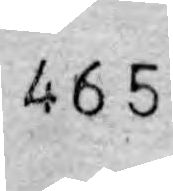465
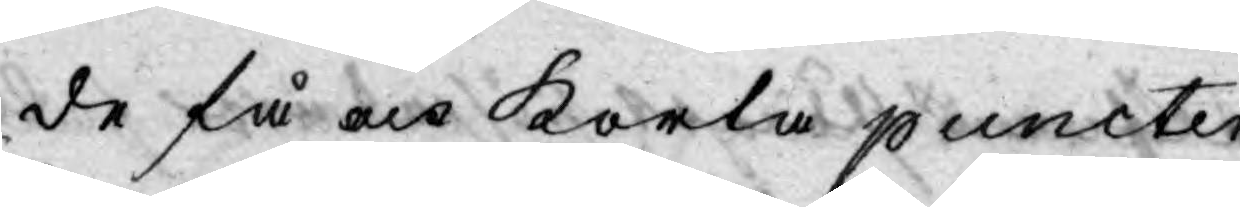de få och korta puncter.
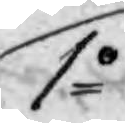1o
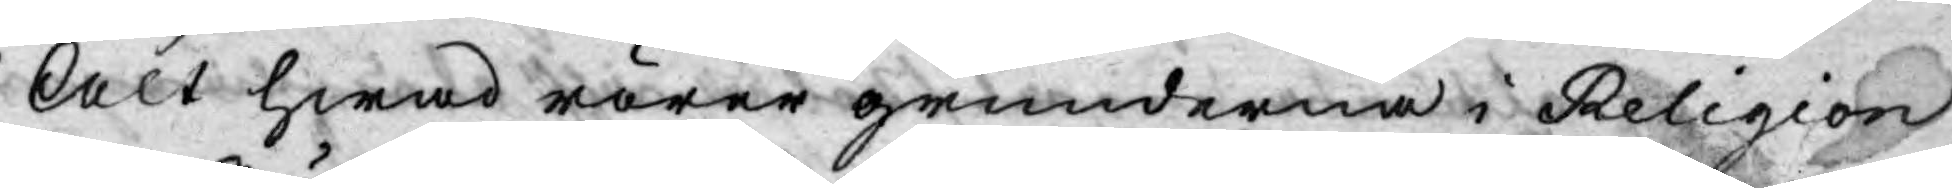Alt hwad rörer grunderna i Religion
